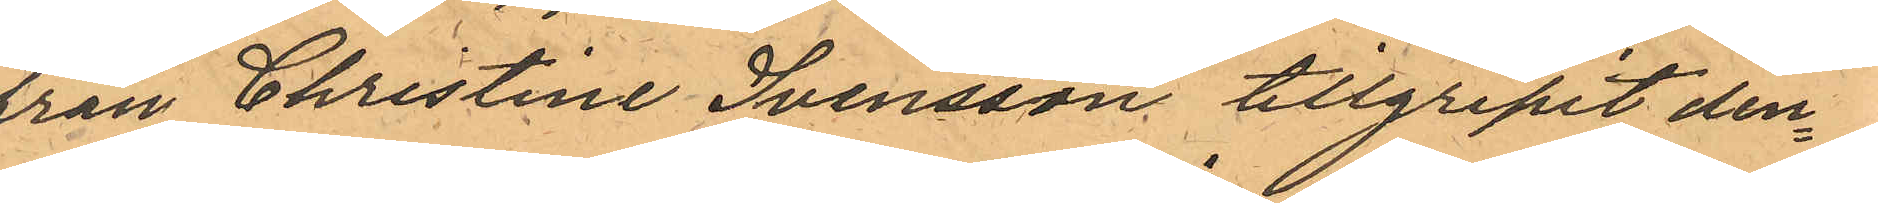från Christine Svensson, tillgripit den¬
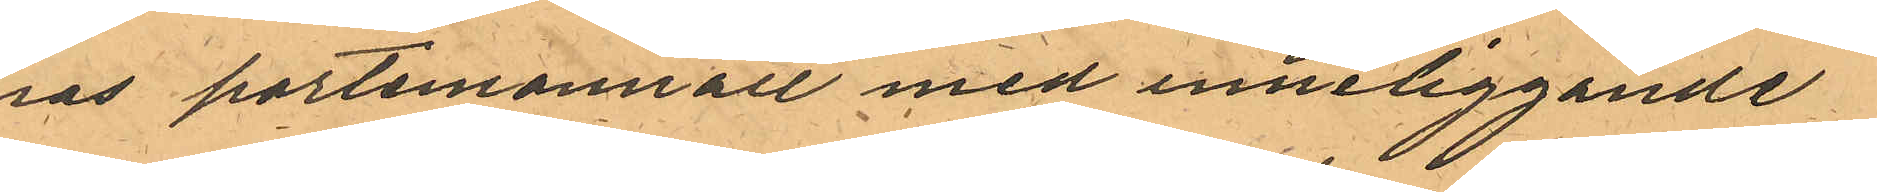nas portemonnaie med inneliggande
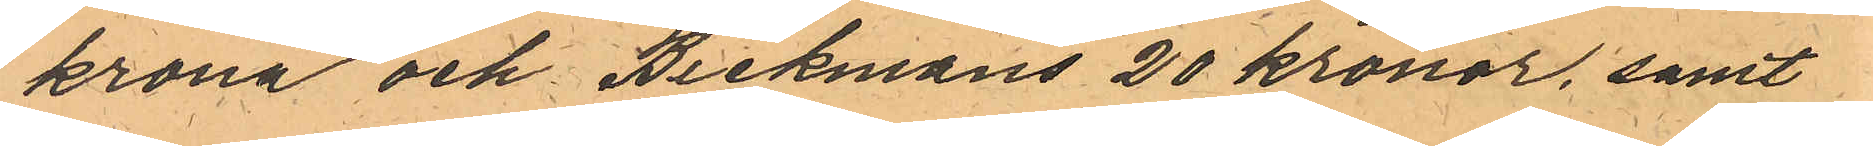1 krona och Beckmans 20 kronor, samt
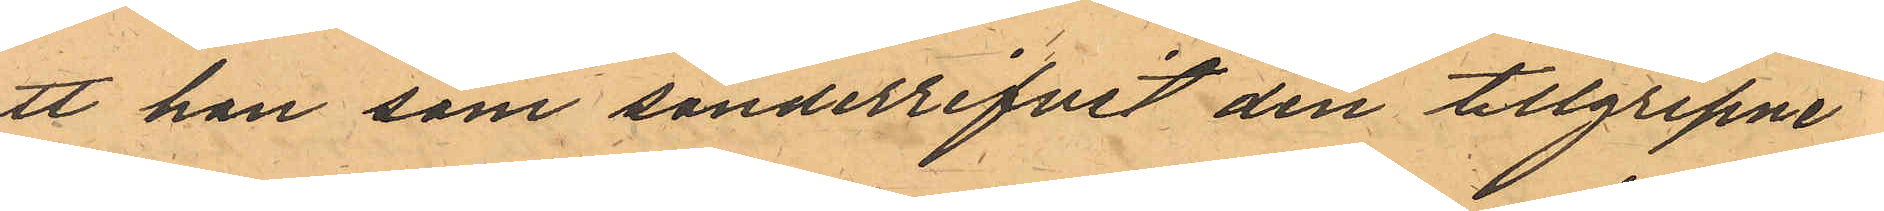att han som sönderrifvit den tillgripne
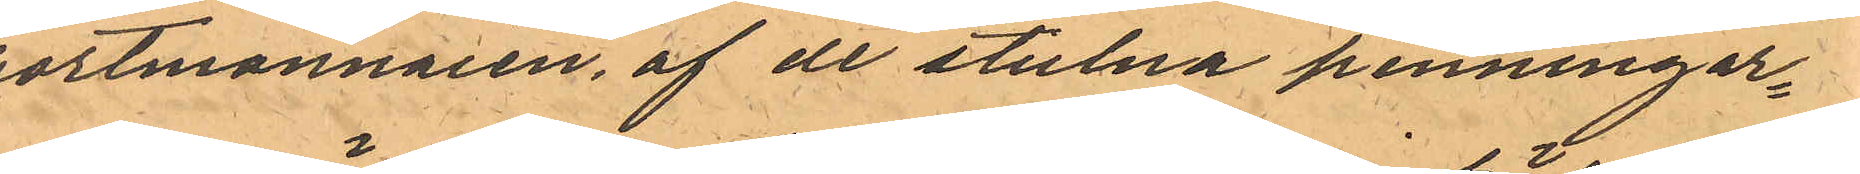portmonnaien, af de stulna penningar¬
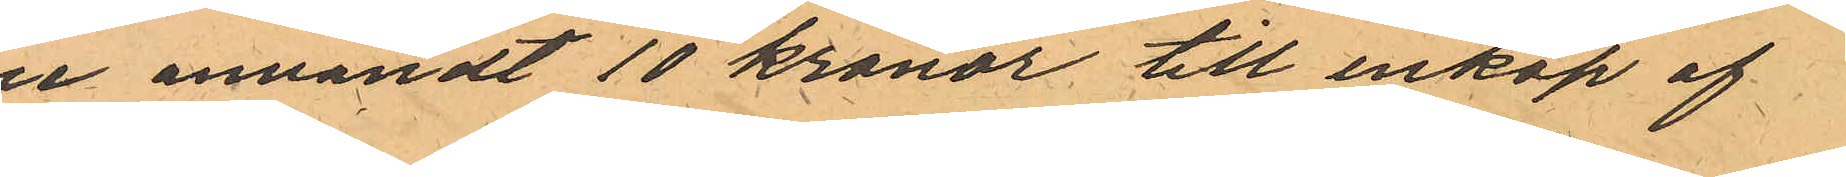ne användt 10 kronor till inköp af
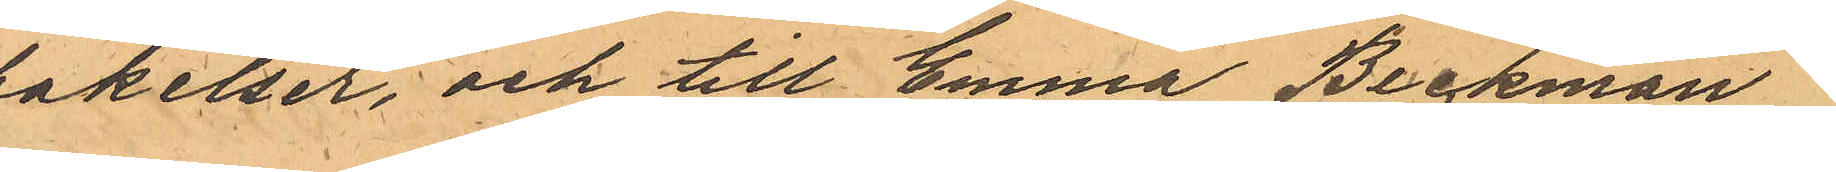bakelser, och till Emma Beckman
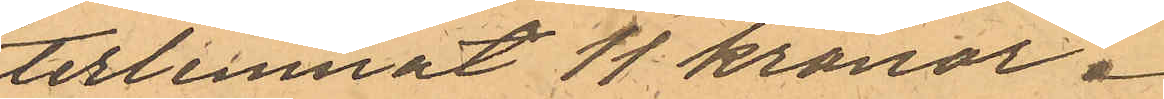återlemnat 11 kronor.
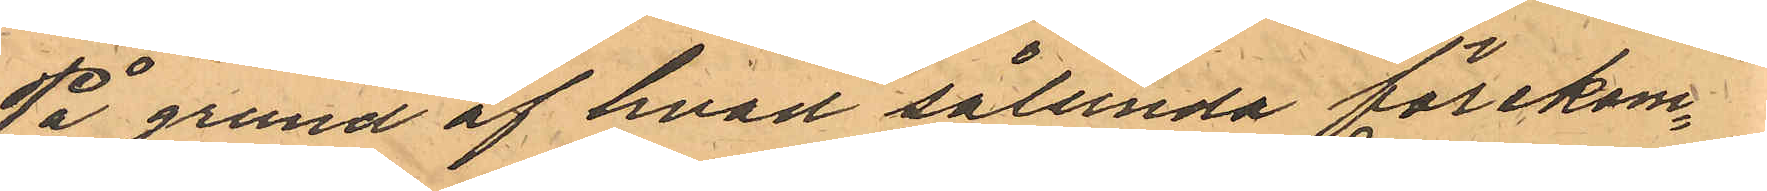På grund af hvad sålunda förekom¬
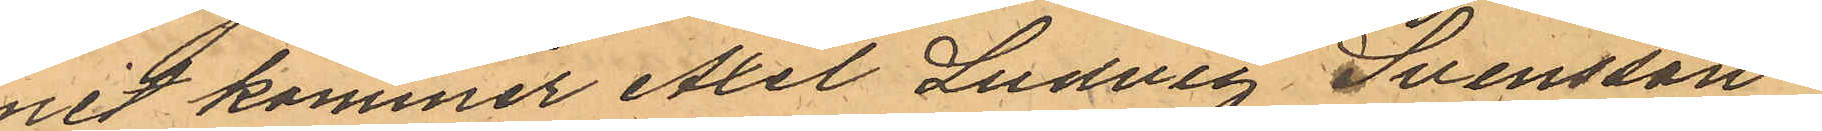mit kommer Axel Ludvig Svensson
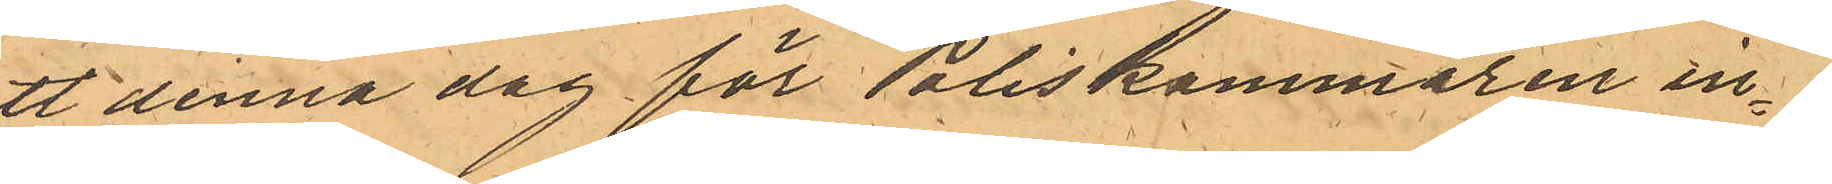att denna dag för Poliskammaren in¬
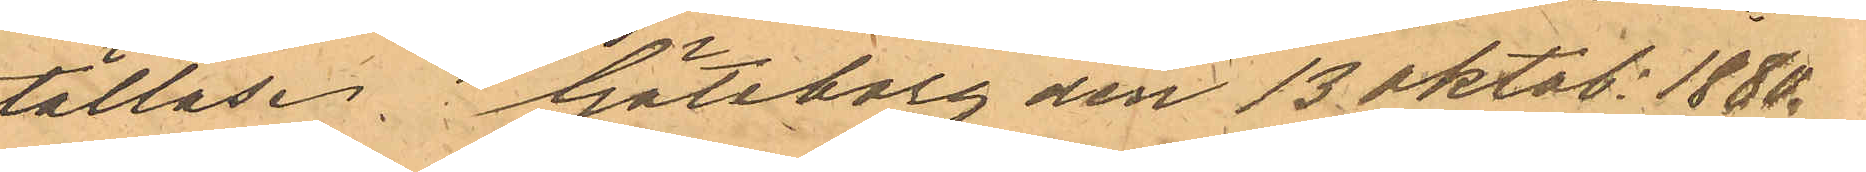ställas. Göteborg den 13 oktob. 1880.
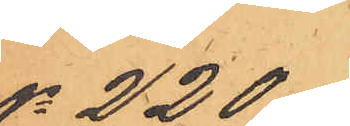No 220
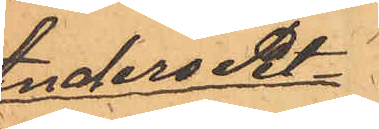Anders Pet¬
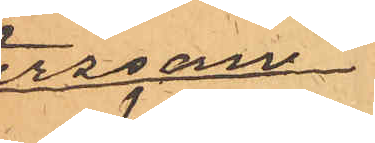tersson
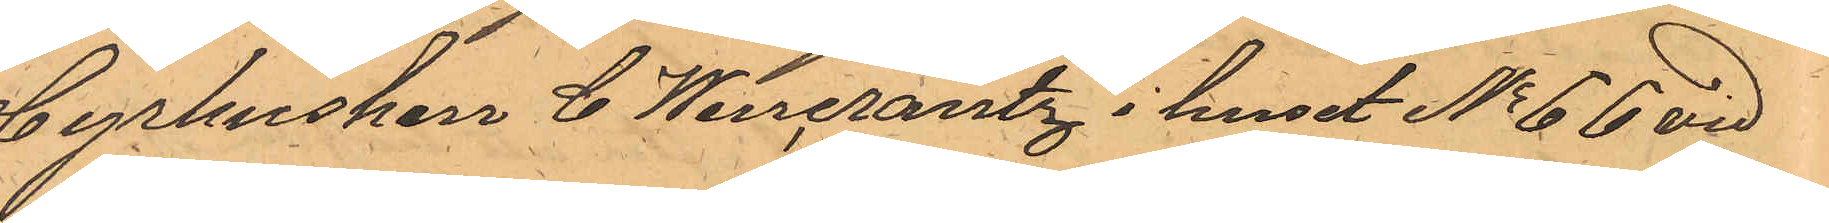Hyrhusken C. Wincrantz i huset No 66 vid
